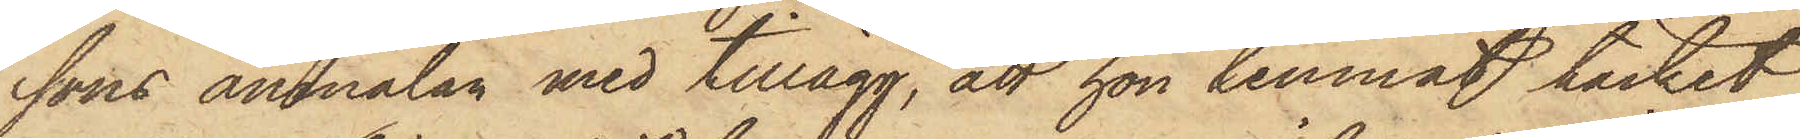sons anmälan med tillägg, att hon lemnat täcket
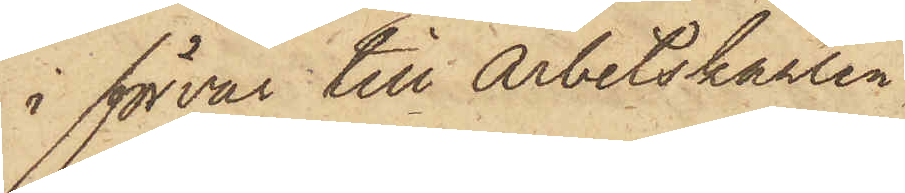i förvar till Arbetskarlen
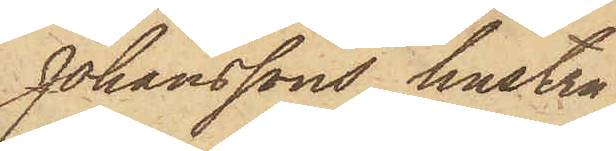Johanssons hustru
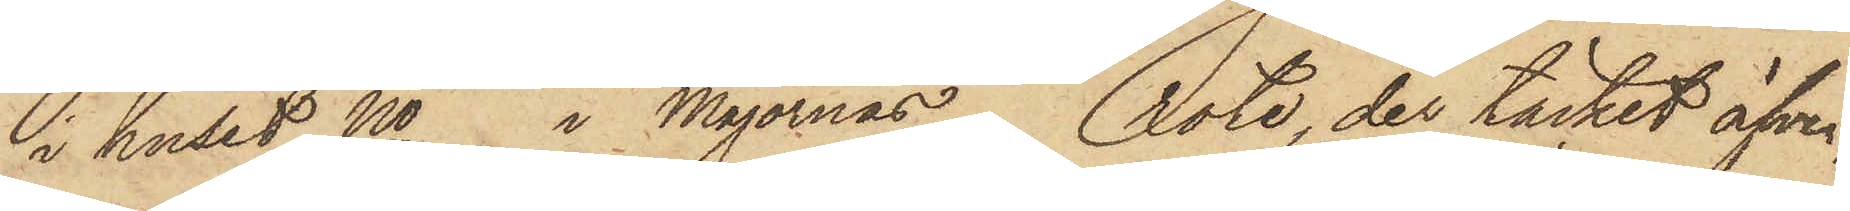i huset No i Majornas Rote, der täcket äfven,
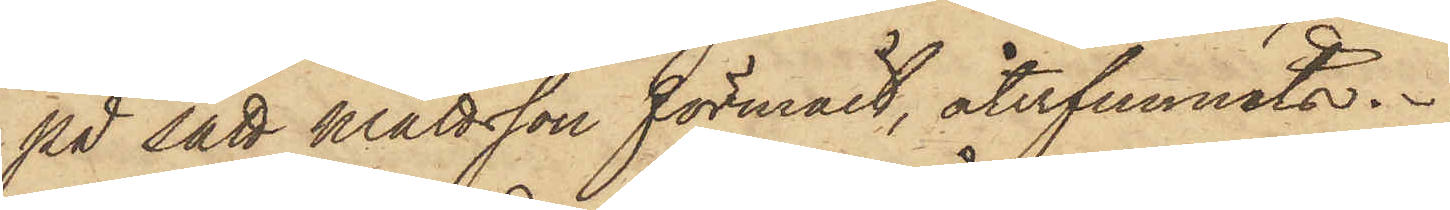på sätt Mattsson förmält, återfunnits.
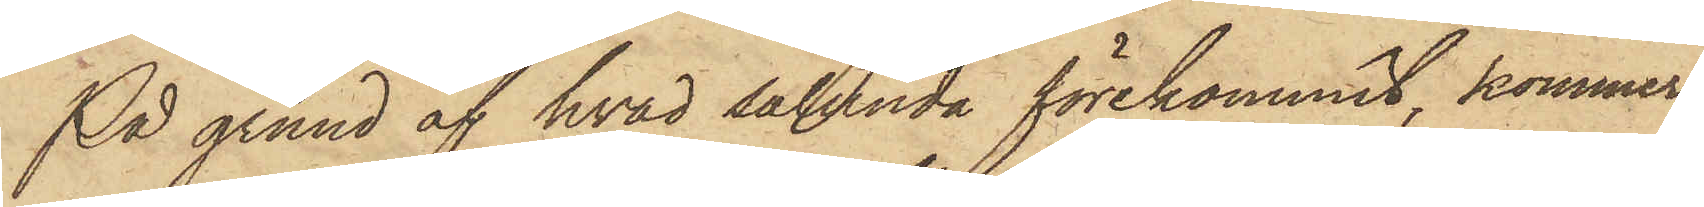På grund af hvad sålunda förekommit, kommer
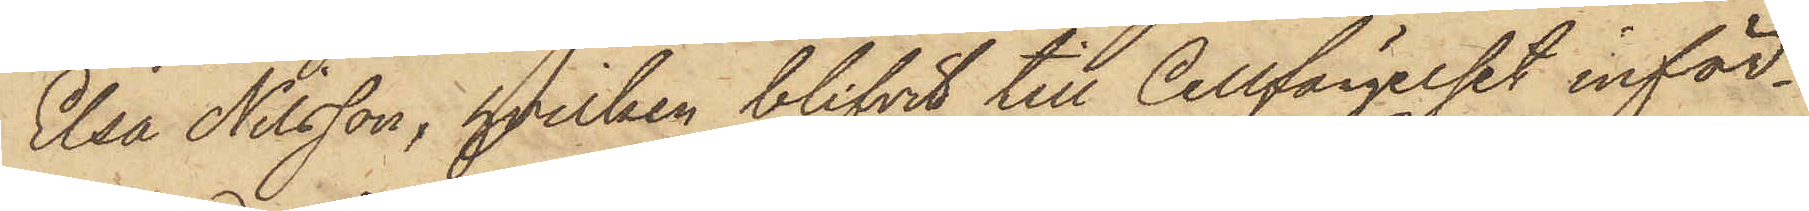Elsa Nilsson, hvilken blifvit till Cellfängelset inför¬
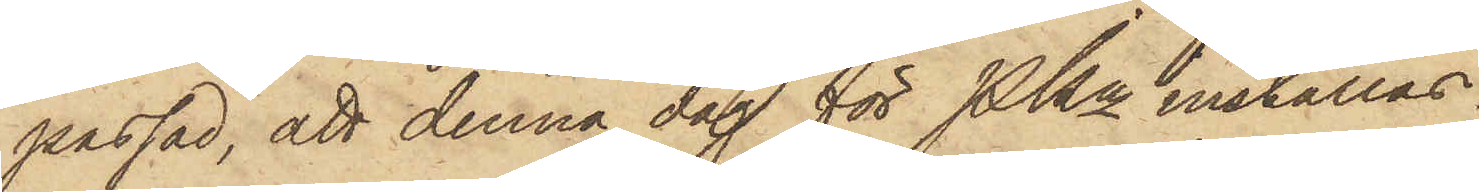passad, att denna dag för Pkn inställas.
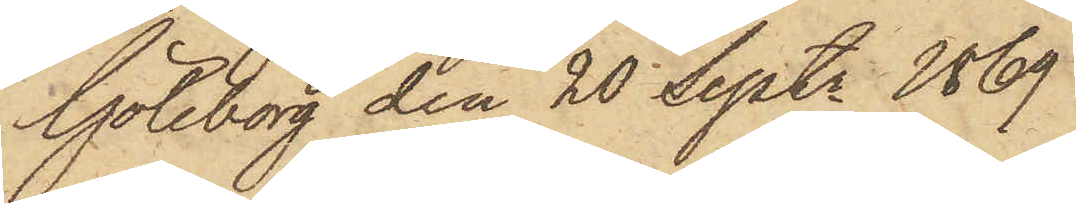Göteborg den 20 Septr 1869
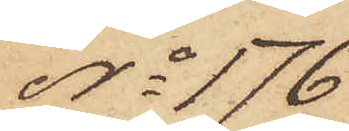No 176
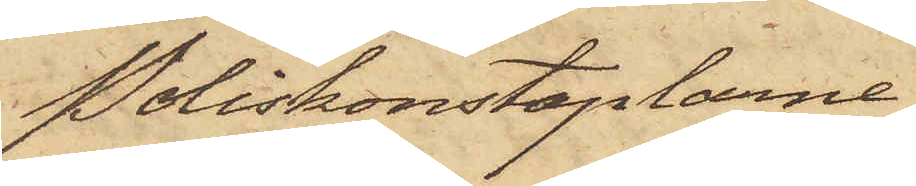Poliskonstaplarne
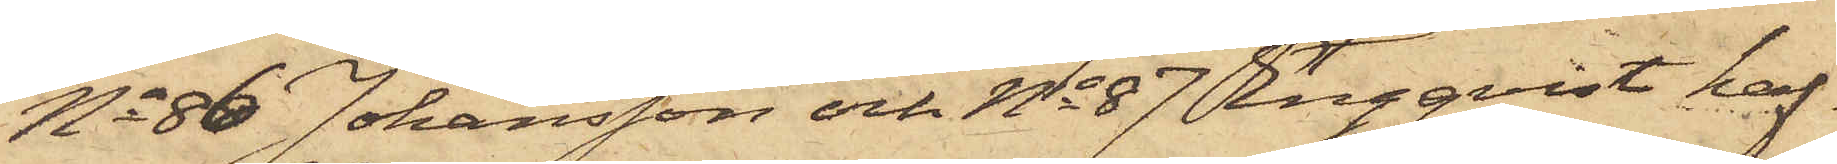No 86 Johansson och No 87 Engqvist haf¬
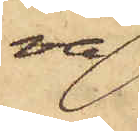va
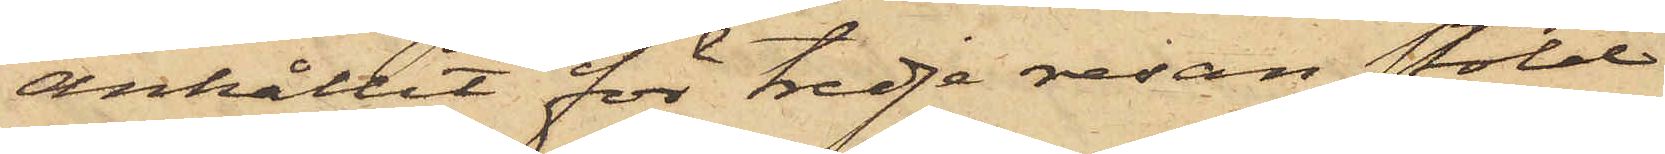anhållit för tredje resan stöld
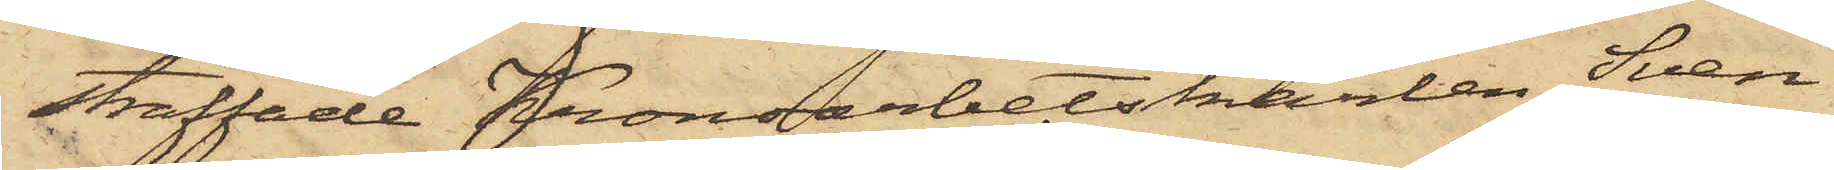straffade Kronoarbetskarlen Sven
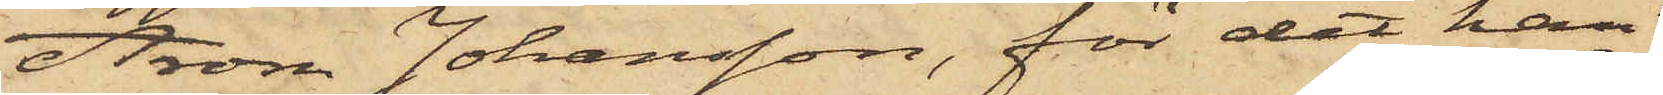Aron Johansson, för det han
